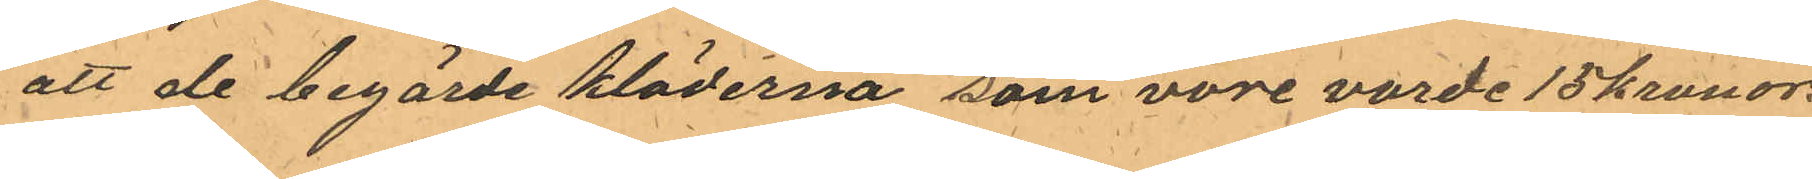att de begärde kläderna som vore varde 15 kronor.
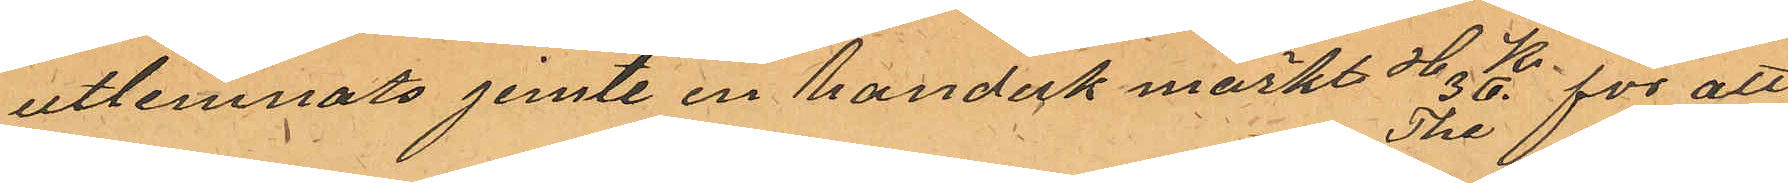utlemnats jemte en handuk märkt H K 36. The för att 
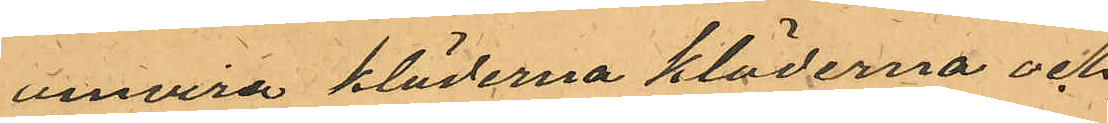invira kläderna kläderna och.
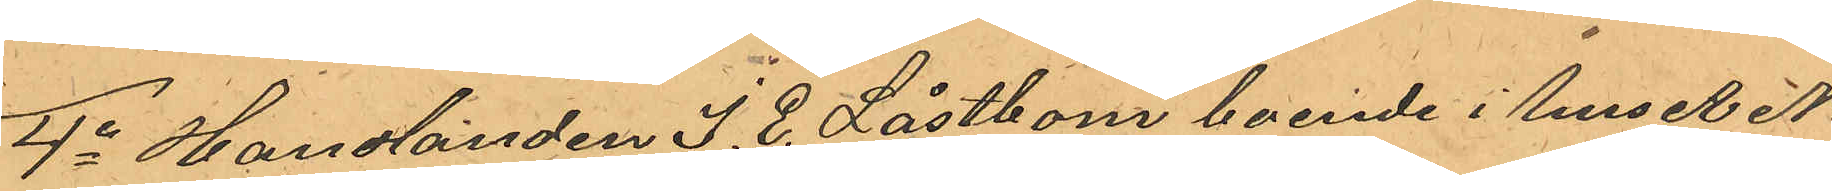4o Handlanden J. E. Låstbom boende i huset No
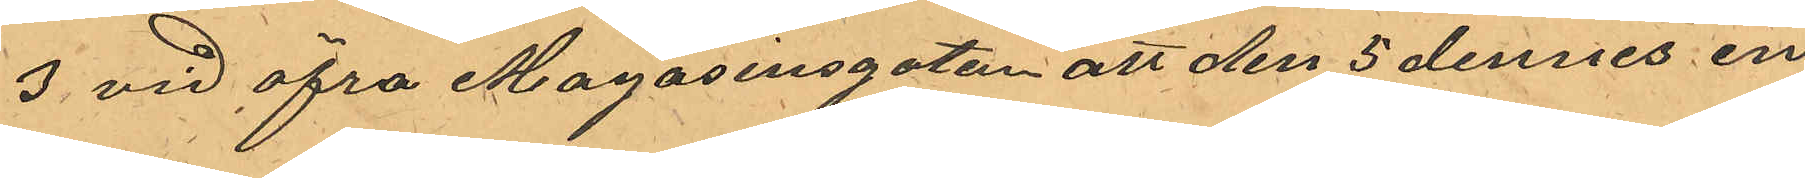3 vid Öfra Magasinsgatan att den 5 dennes en
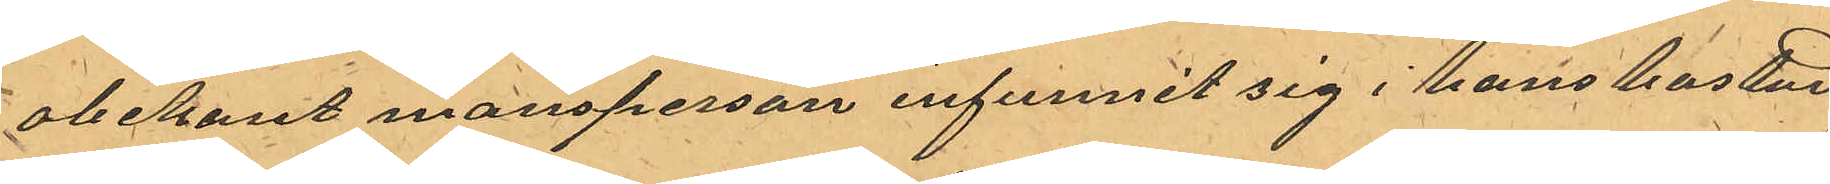obekant mansperson infunnit sig i hans bostad
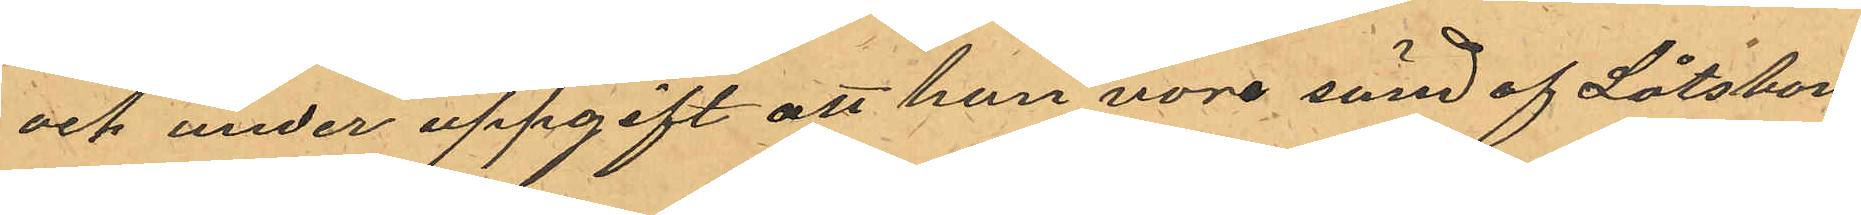och under uppgift att han vore sänd af Låtsbom
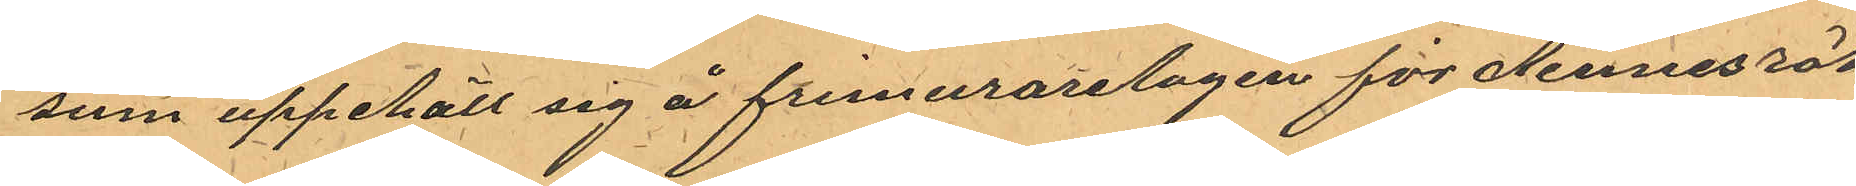som uppehöll sig å Frimurarelogen för dennes räk¬
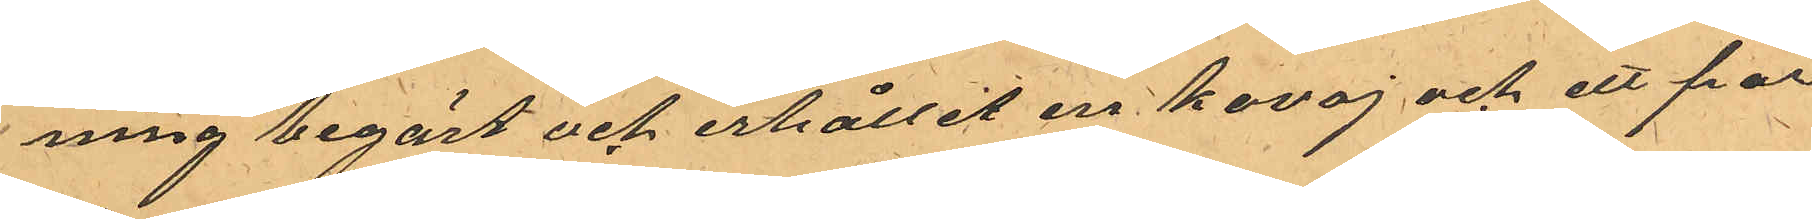ning begärt och erhållit en kavaj och ett par
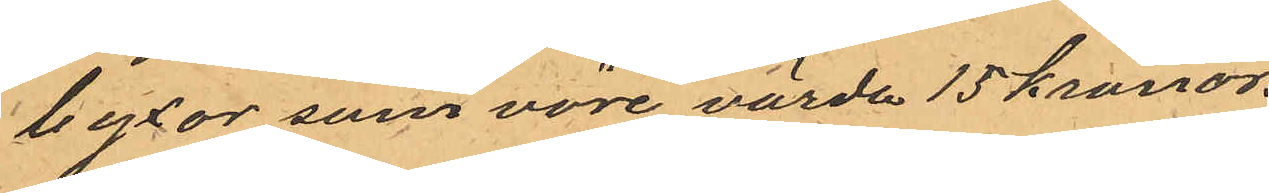byxor som vore värda 15 Kronor.
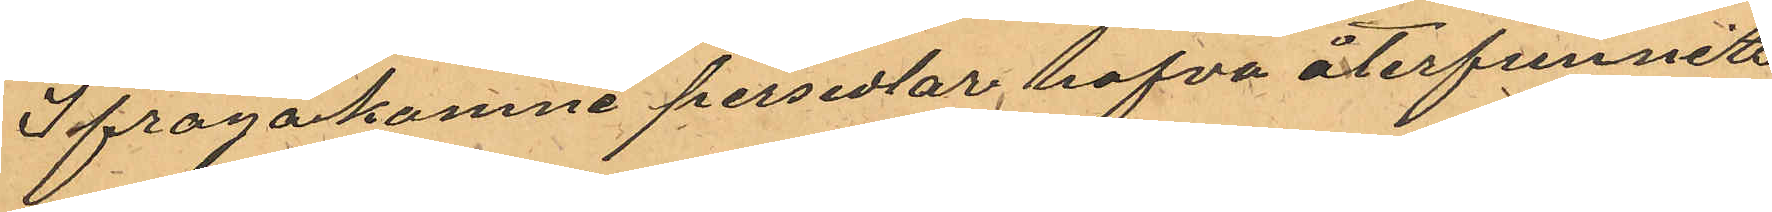Ifragakomne persedlar hafva återfunits
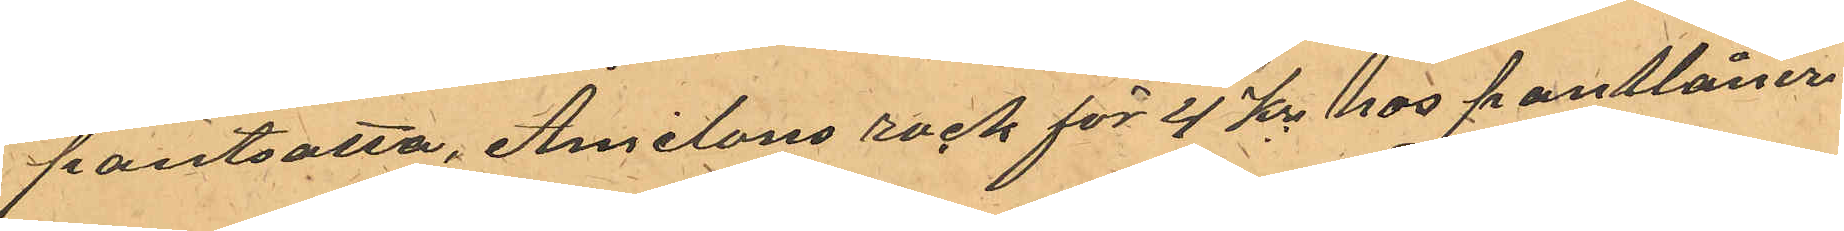pantsatta, Amilons rock för 4 kr hos pantlåner¬
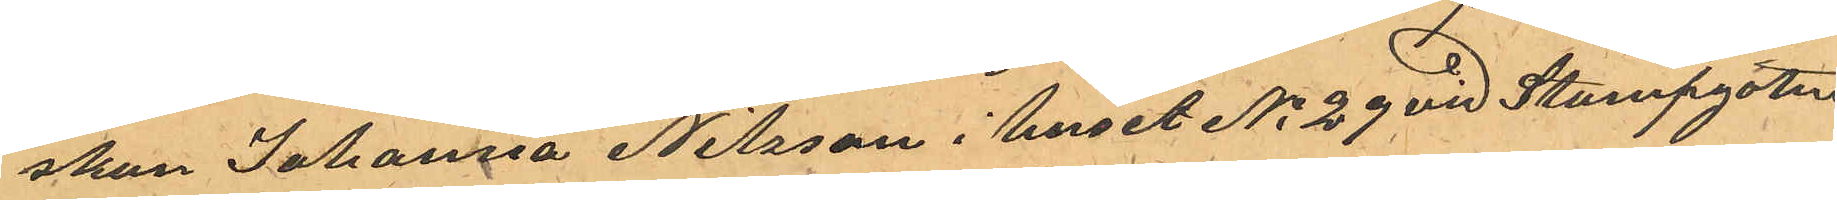skan Johanna Nilsson i huset No 29 vid Stampgatan
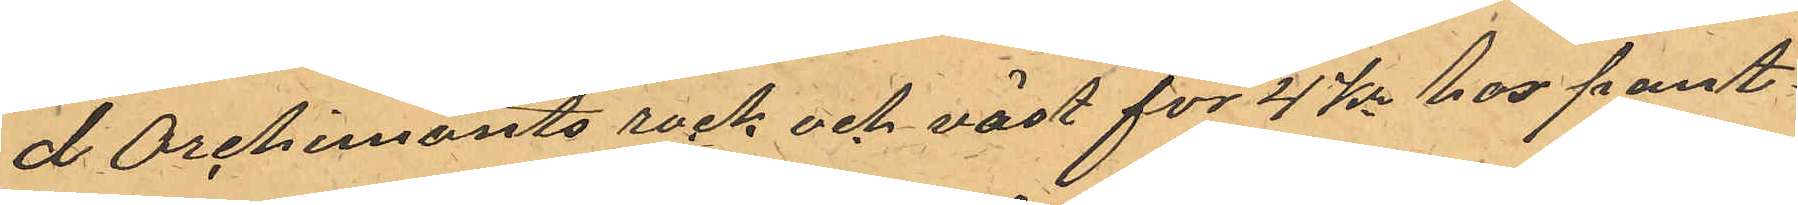d Orchimonts rock och väst för 4 Kr hos pant¬
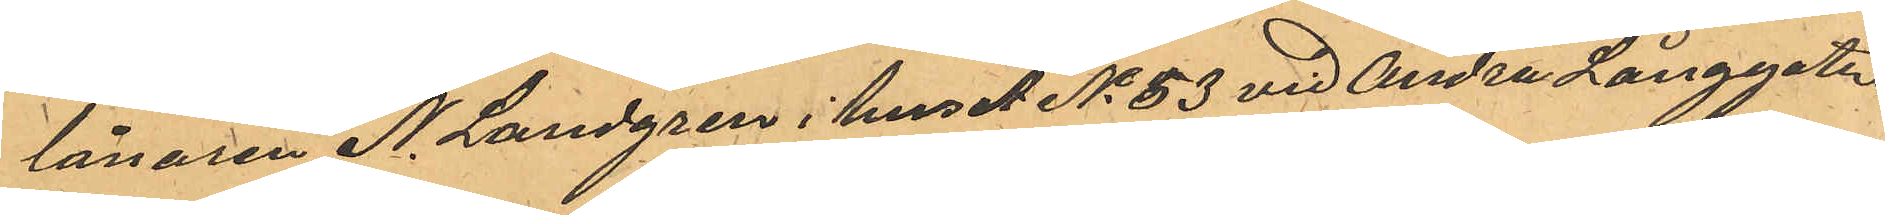lånaren N. Landgren i huset No 53 vid Andra Långgatan,
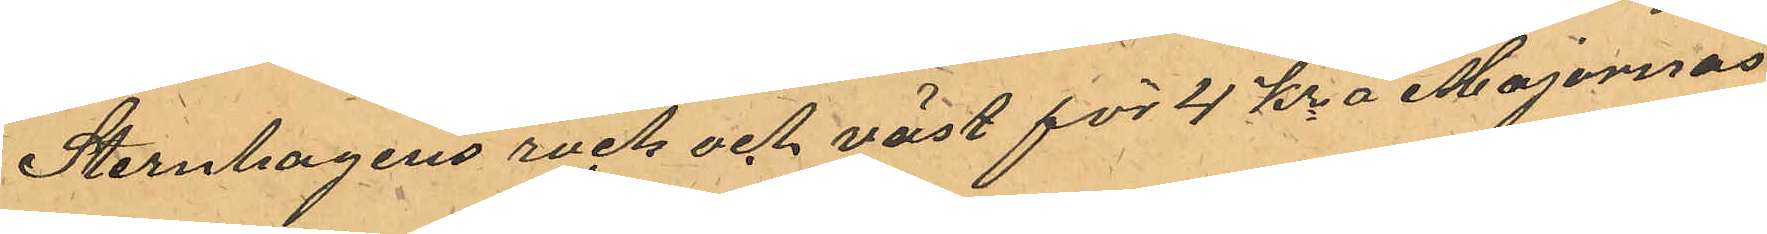Sternhagens rock och väst för 4 kr å Majornas
